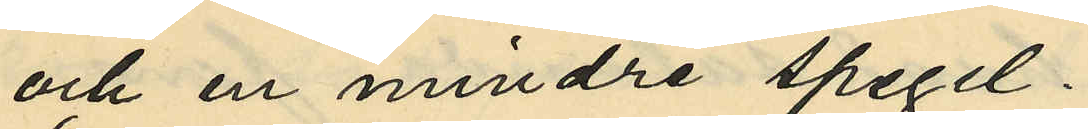och en mindre spegel.
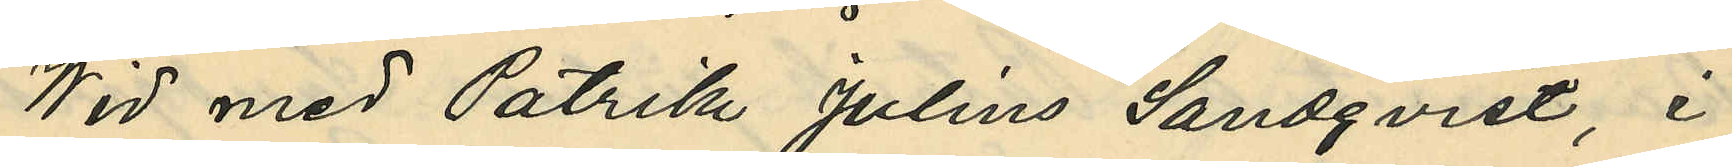Wid med Patrik Julius Landqvist, i
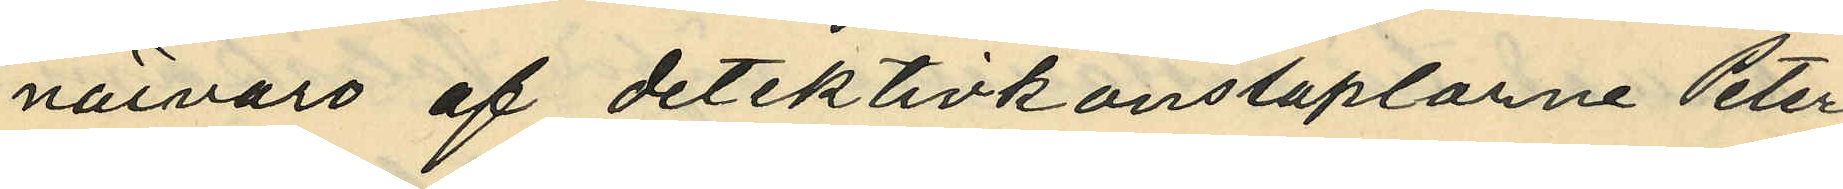närvaro af detektivkonstaplarne Peter
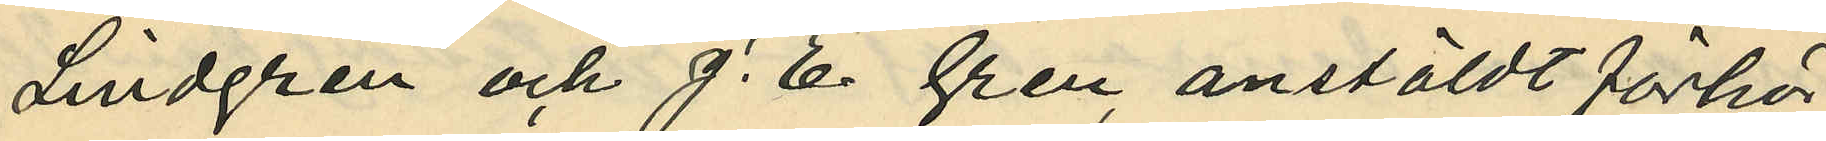Lindgren och J. E. Gren, anstäldt förhör
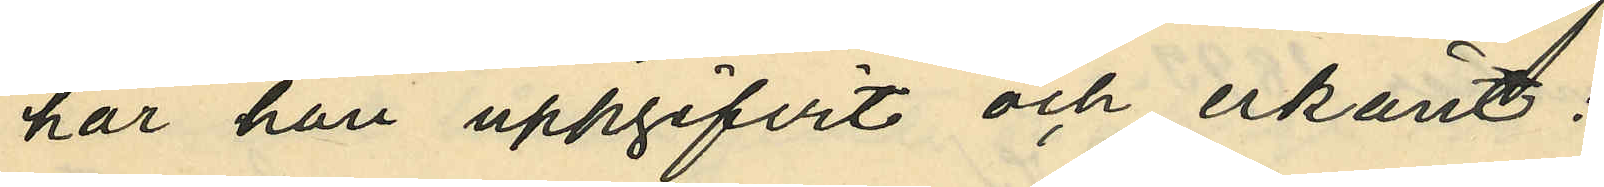har han uppgifvit och erkänt:
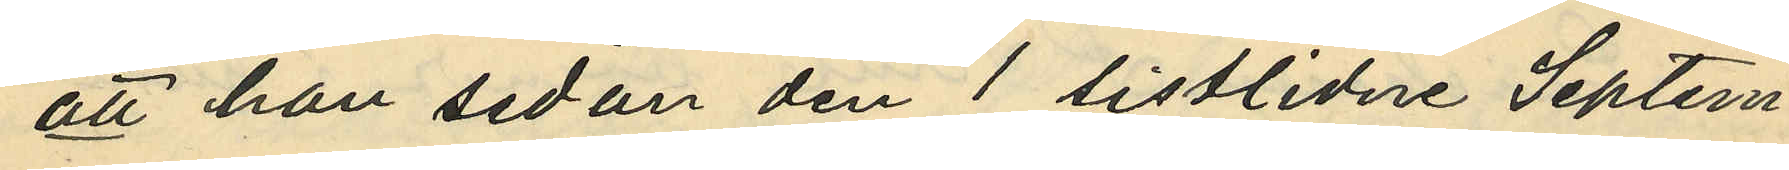att han sedan den 1 sistlidne Septem¬
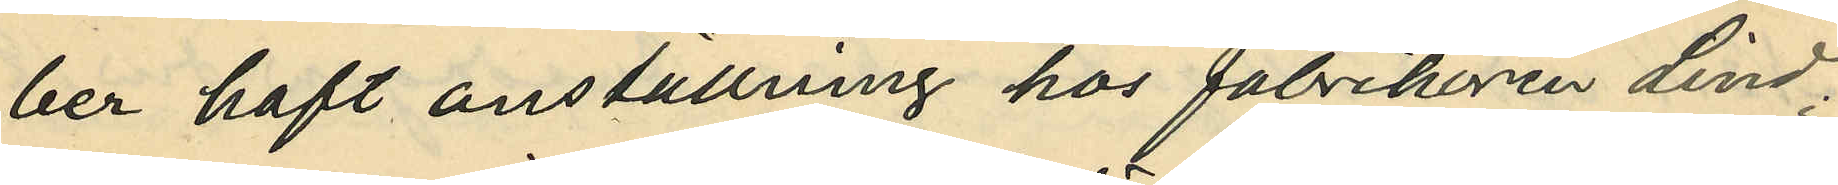ber haft anställning hos fabrikören Lind;
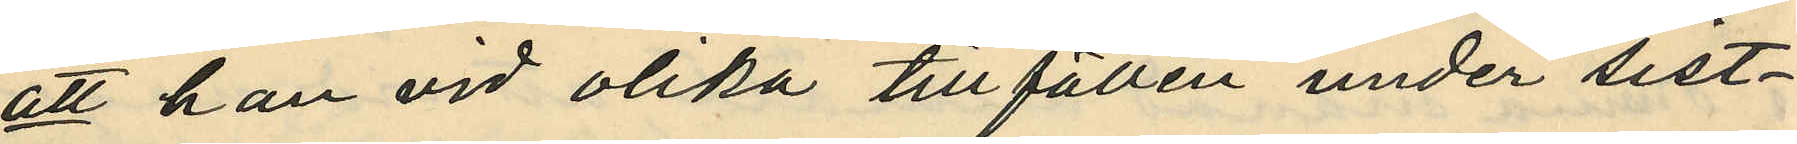att han vid olika tillfällen under sist¬
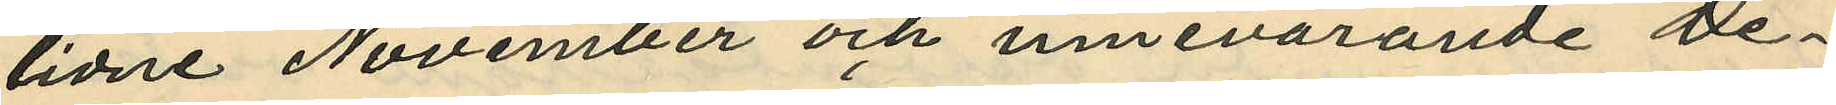lidne November och innevarande De¬
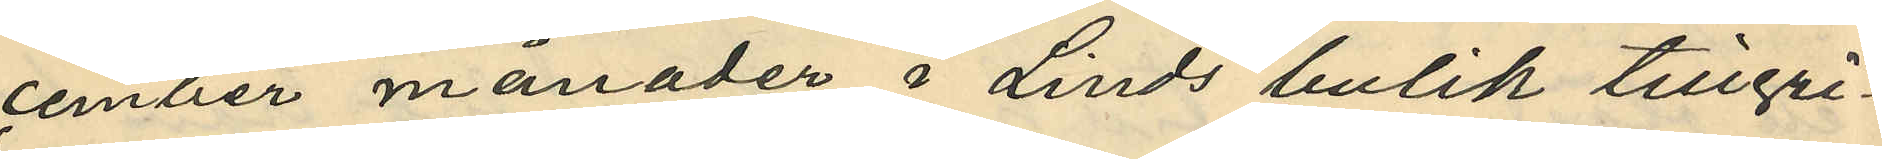cember månader i Linds butik tillgri¬
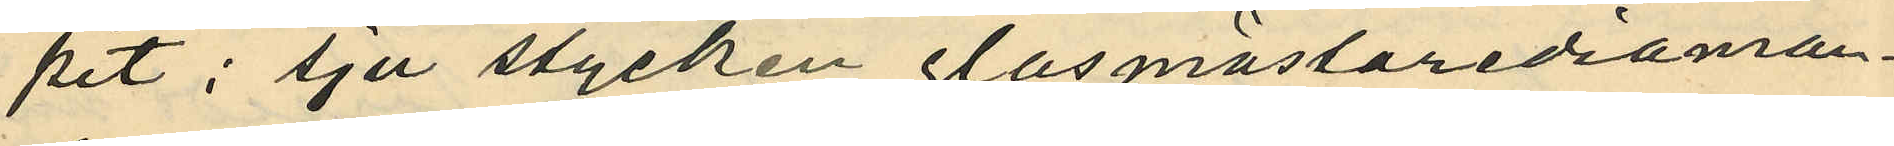pit: sju stycken glasmästarediaman¬
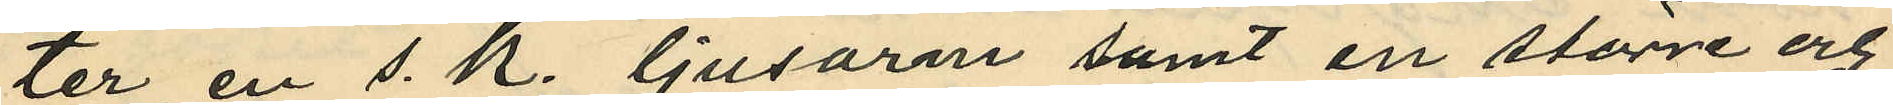ter, en s. k. ljusarm samt en större och
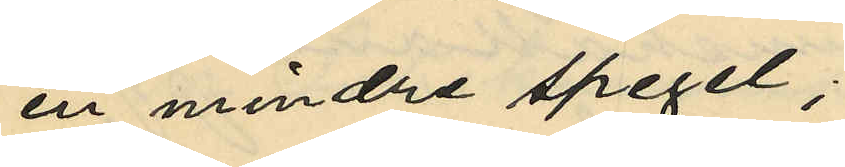en mindre spegel;
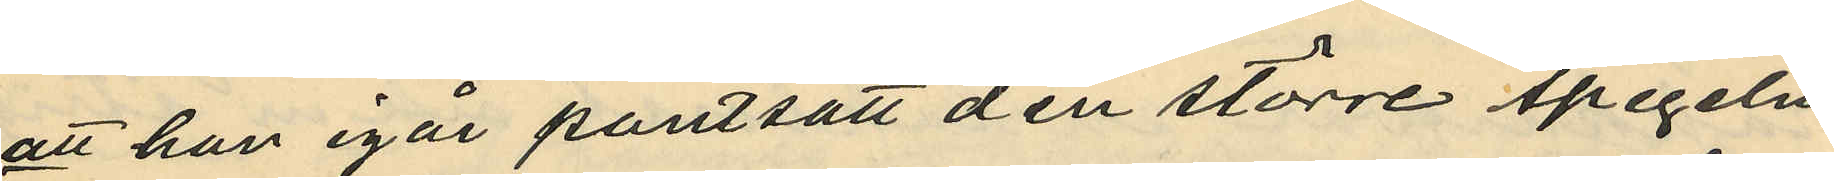att han igår pantsatt den större spegeln
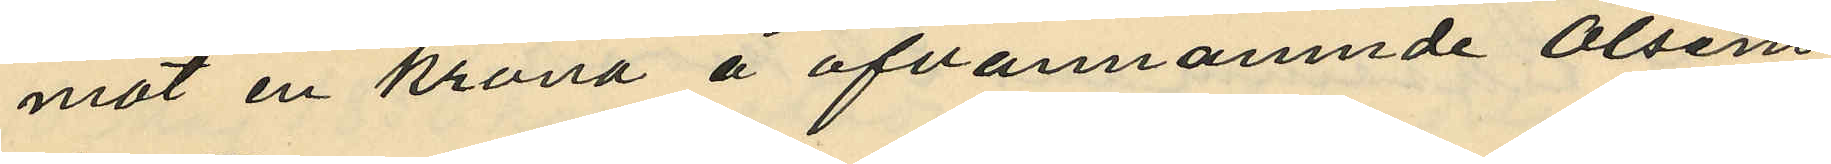mot en krona å ofvannamnde Olséns
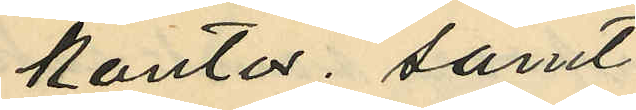kontor; samt
